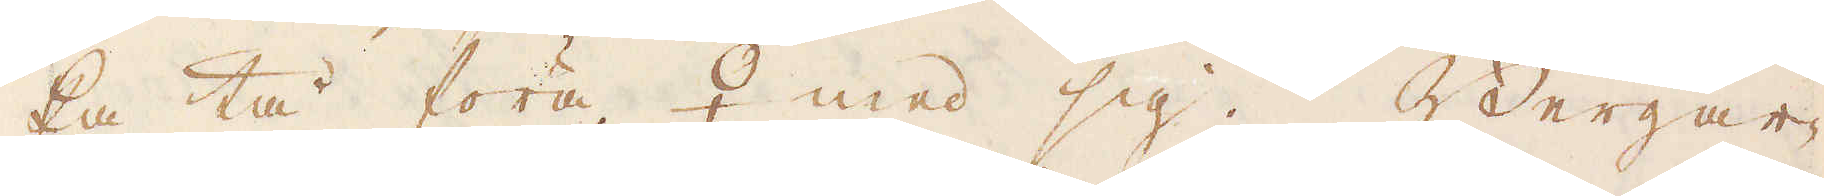ka tå föra ♀ med sig. Bergar-
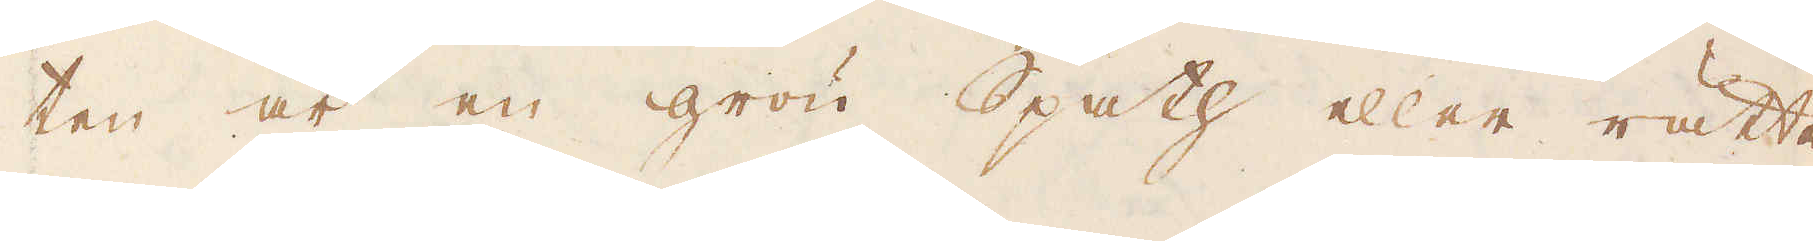ten är en grön Spath eller rätta-
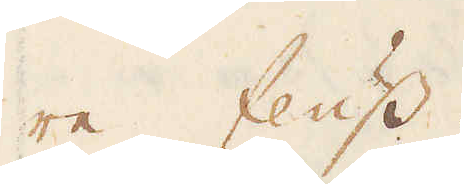re fluss.
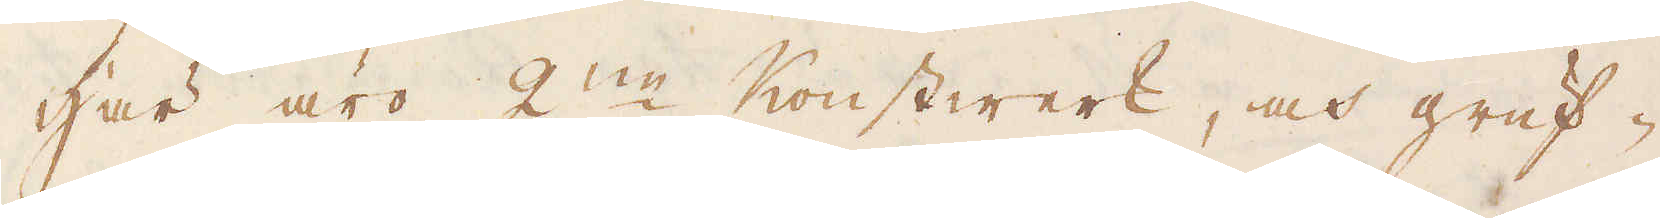Här äro 2:ne Konstwerk, och gruf-
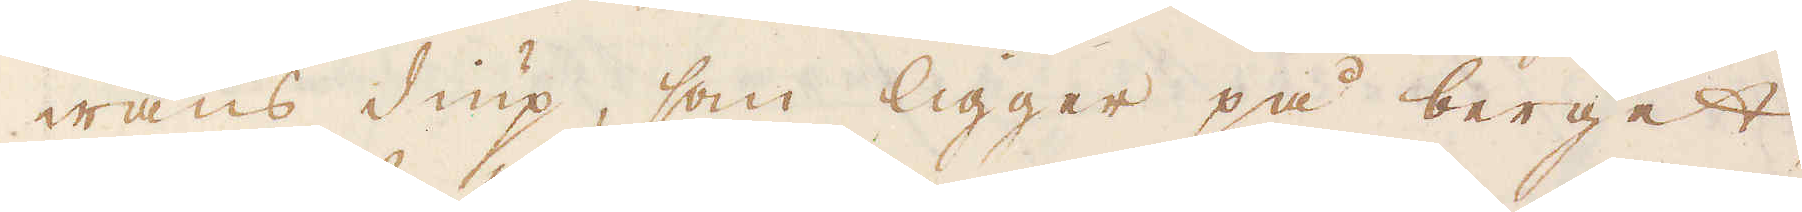wans diup, som ligger på berget
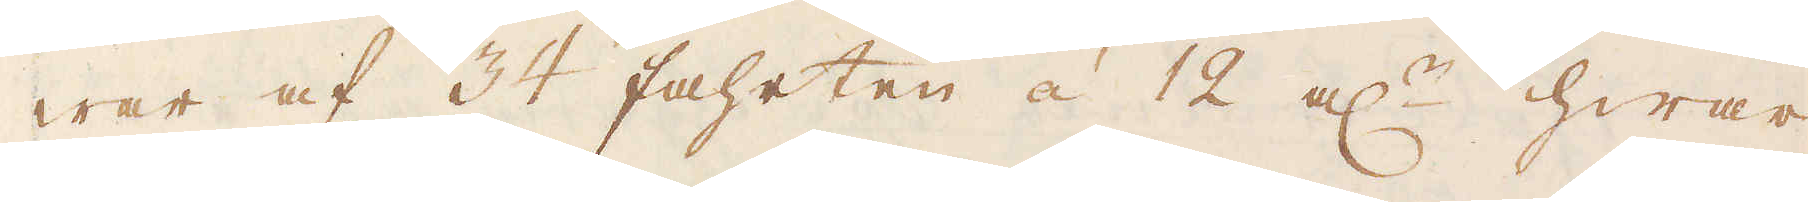war af 34 fahrten á 12 al:r hwar
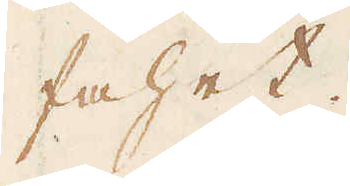fahrt.
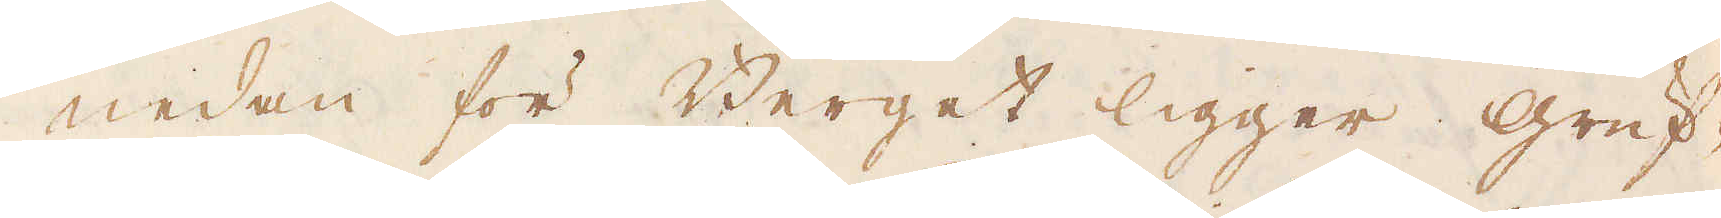Nedan för Berget ligger gruf-
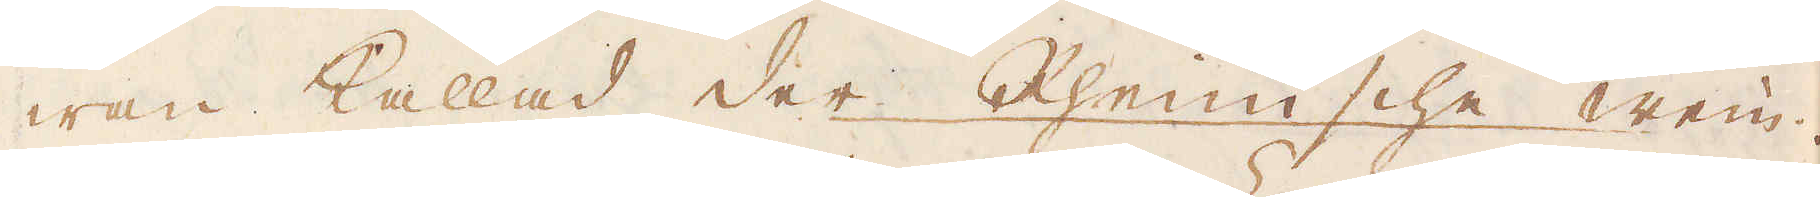wan kallad der Rhenische wein.
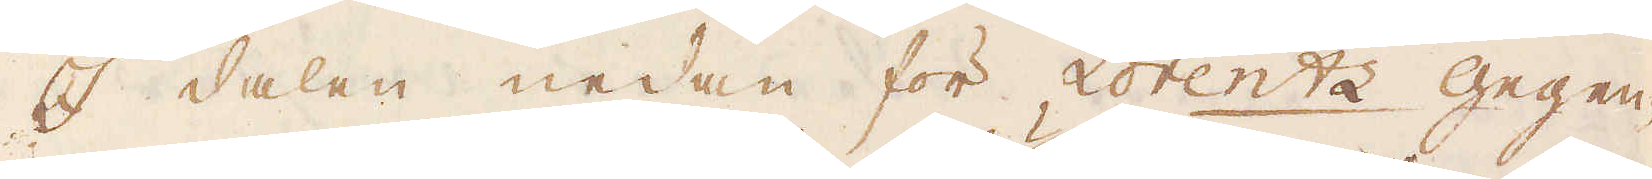I dalen nedan för Lotentz Gegen-
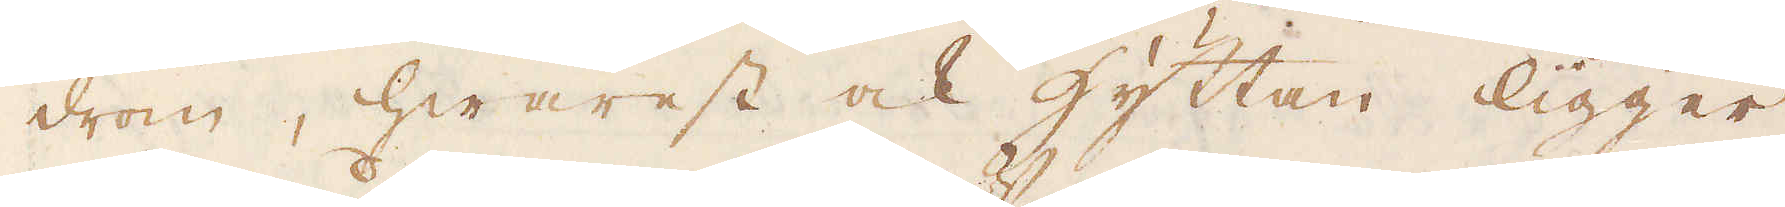drom, hwarest ock hyttan ligger
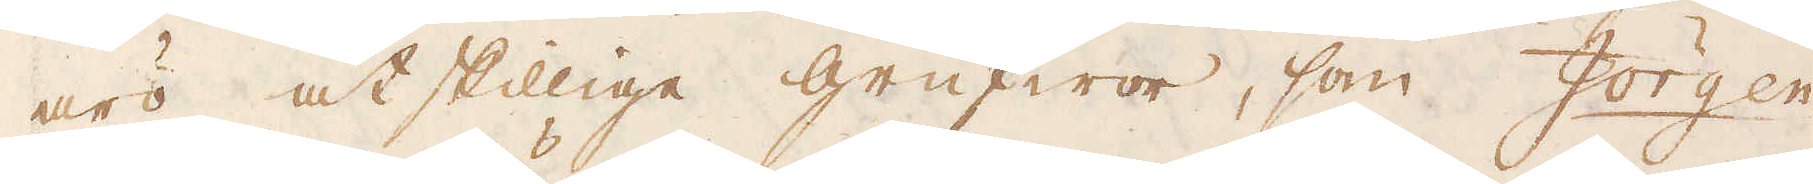äro åtskillige grufwor, som Jörgen-
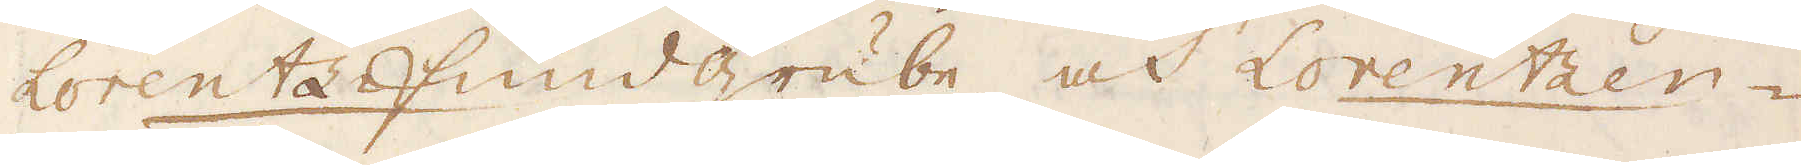Lorentzfundgrube och Lorentzen-
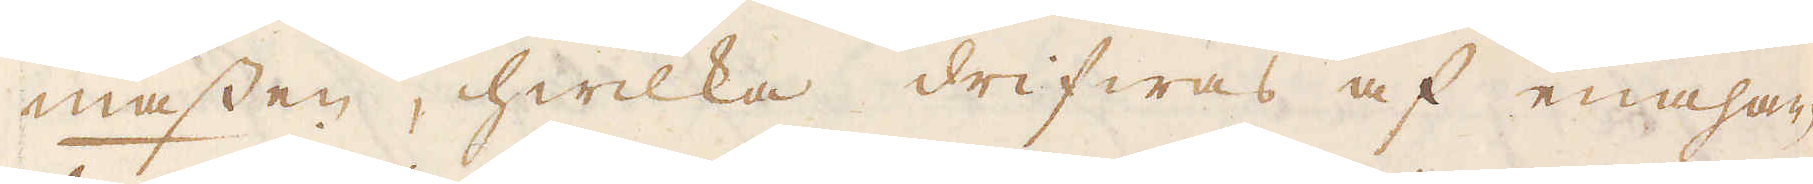massen, hwilka drifwas af enahan-
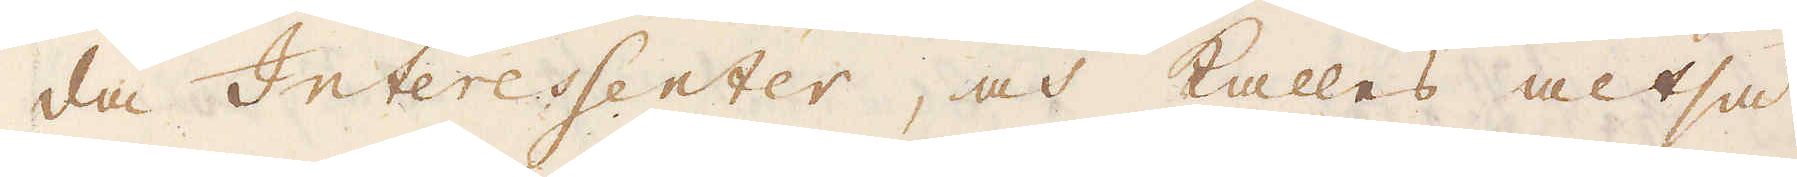da Interessenter, och kallas altså
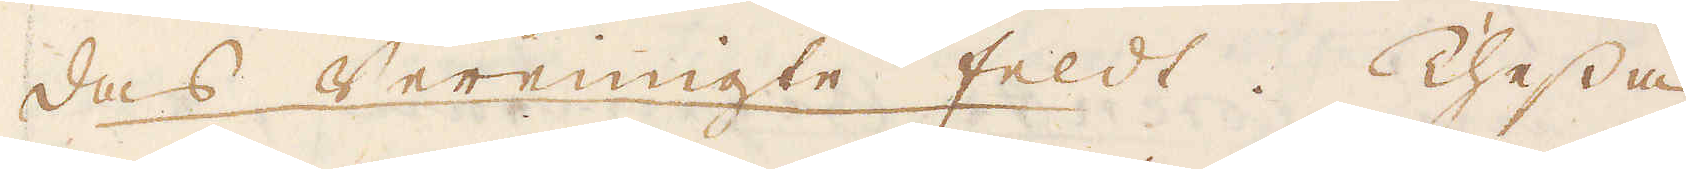das Verenigte feldt. Thessa
